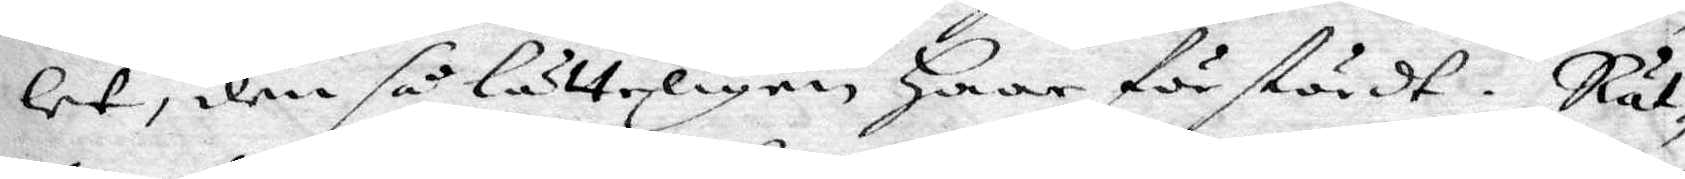let, dem så lätteligen Haar förstördt. Rät¬
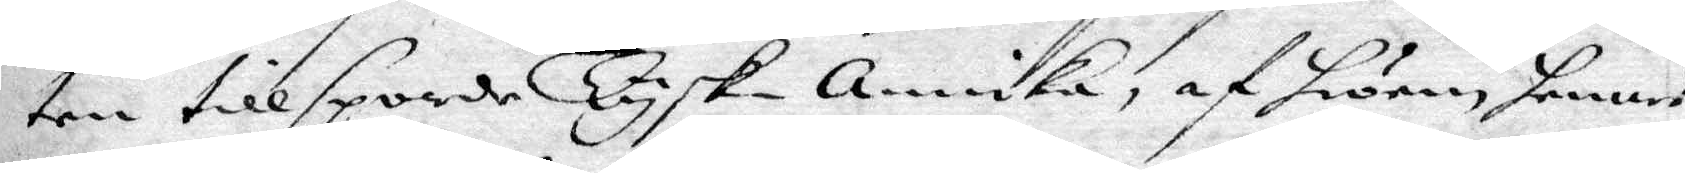ten tillsporde Tysk-annika, af hwem hennes
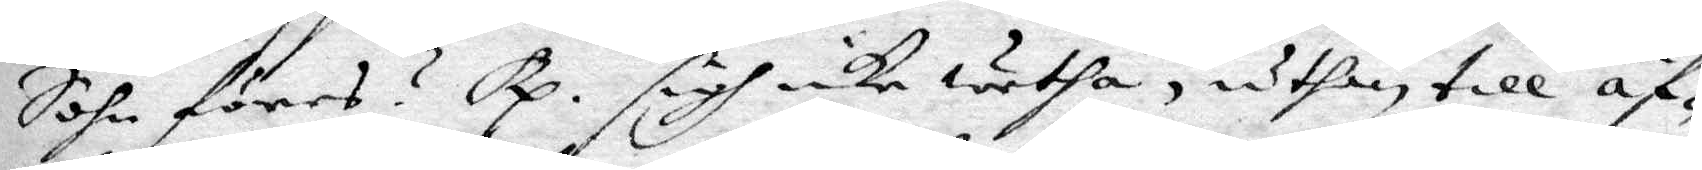Son föres? Rp. sigh icke wetha, uthan till äf¬
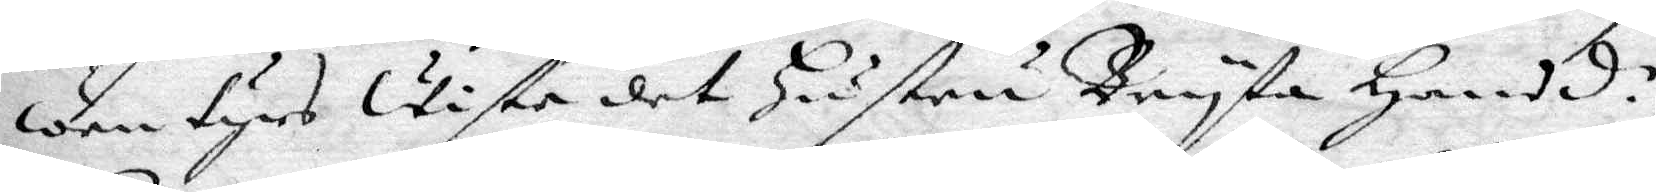wentyrs wiste det Hustru Bryta Hansd.r
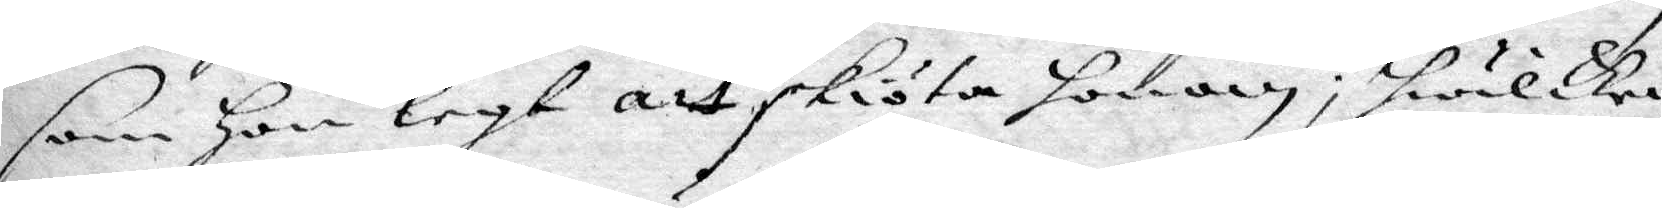som Hon leyt att sköta honom; hwilken
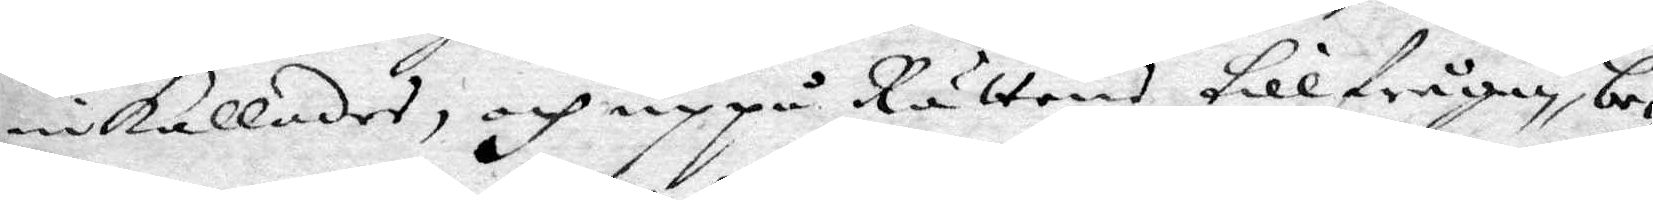inkallades, och uppå Rättens tillfrågan, be¬
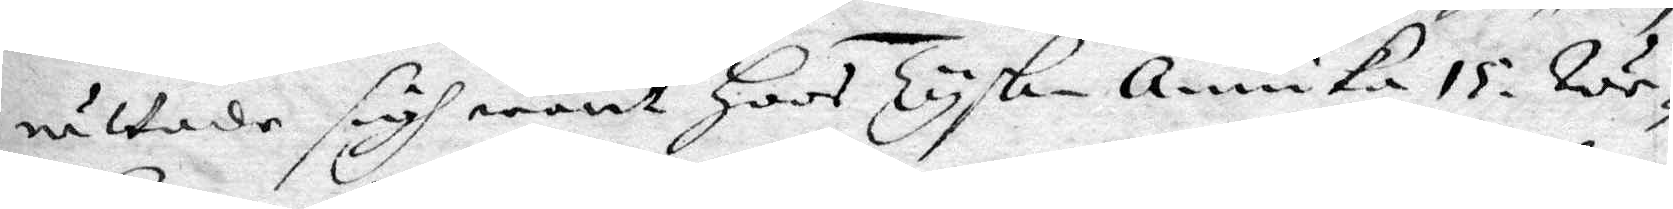rättade sigh warit Hoos Tysk-annika 15. we¬
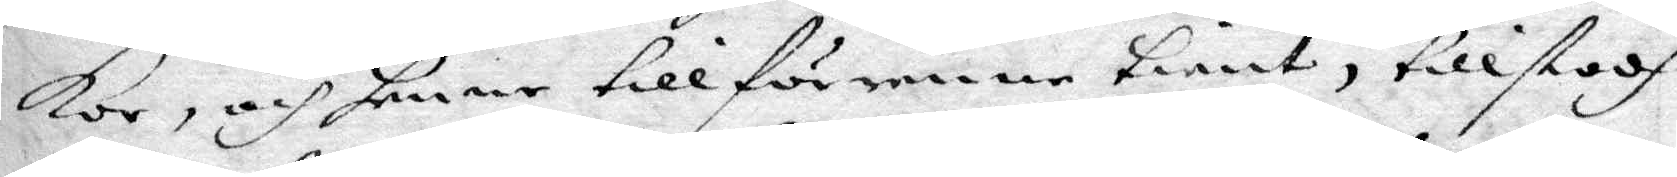kor, och henne tillförene tient, tillstodh
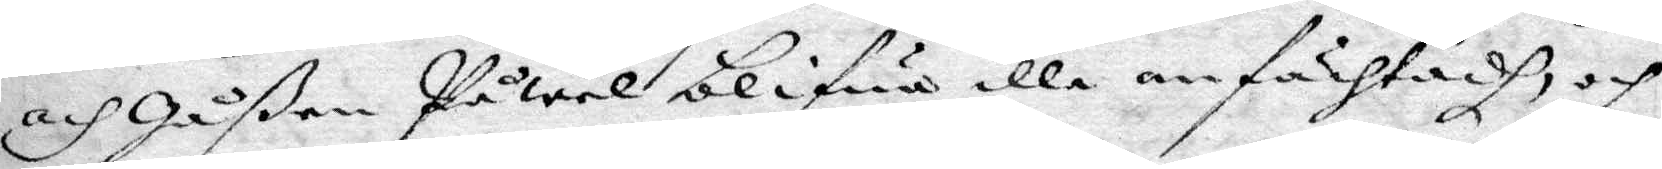och gåßen Påwel bliua illa anfächtadh, och
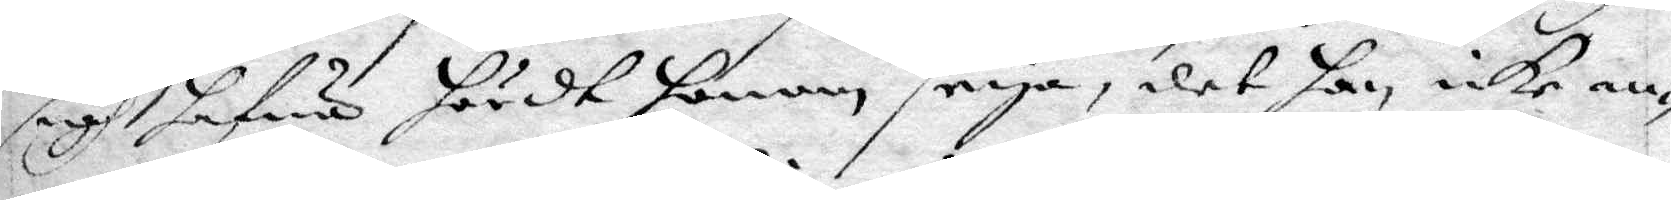sigh hafwa hördt honom seya, det han icke an¬
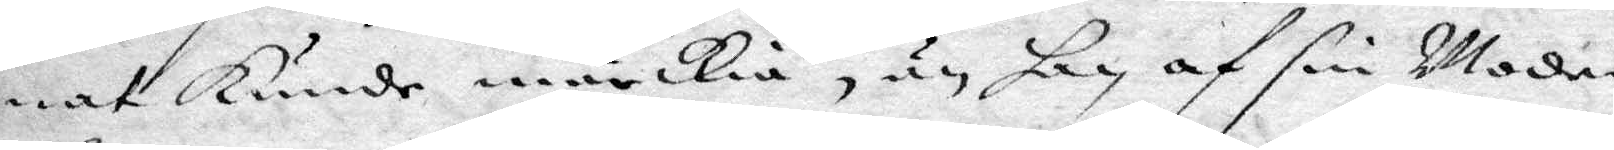nat kunde märkia, än han af sin Moder
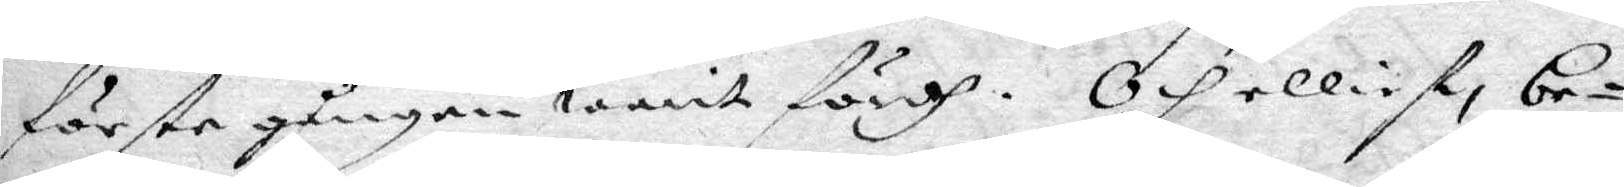första gången warit fördh. Och elliest be¬
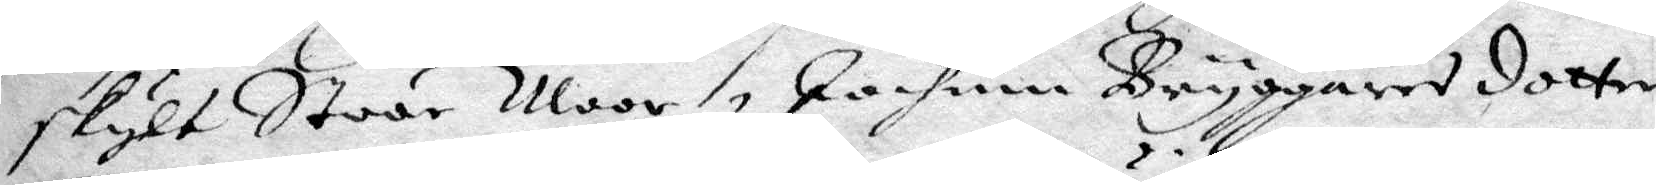skylt Stoor Moor Jochum Bryggares dotter
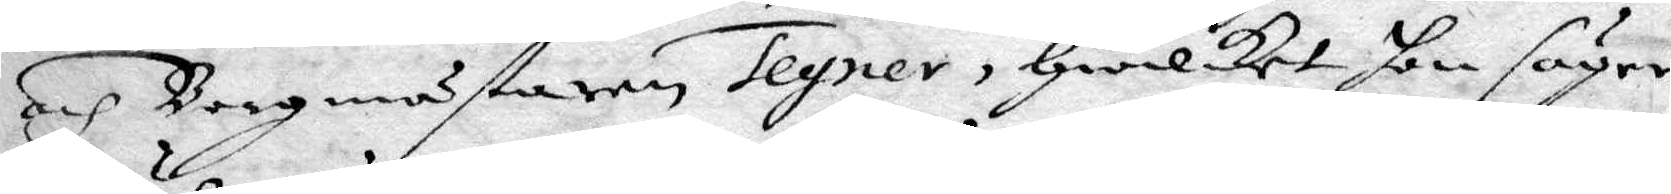och Borgmästaren Tegner, Hwilket hon säyer
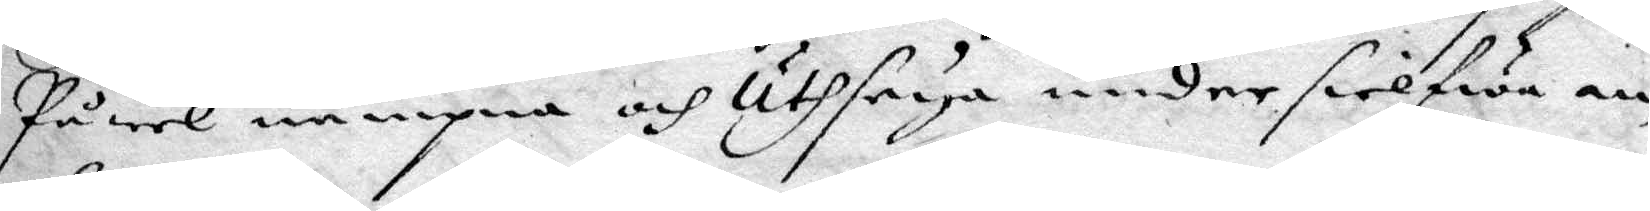Påwel nämpna och Uthseya under sielfwa en¬
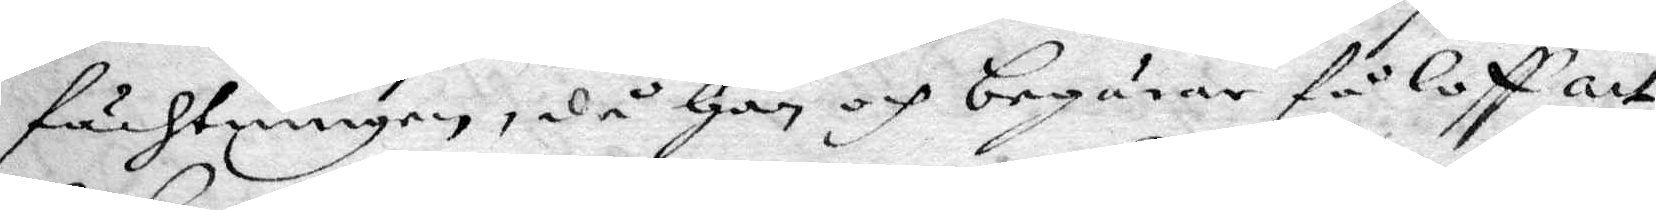fächtningen, då Han och begärer få loff att
